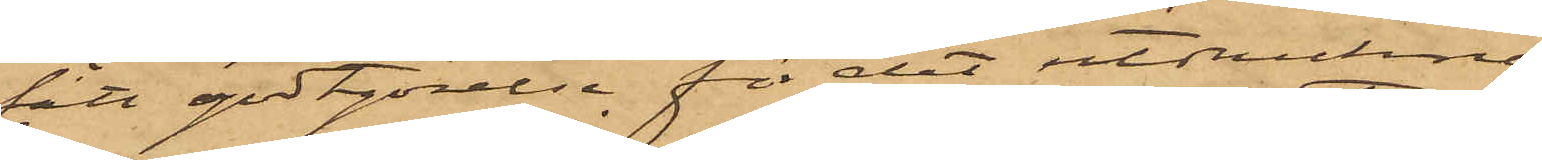fått godtgörelse för det utdruckna
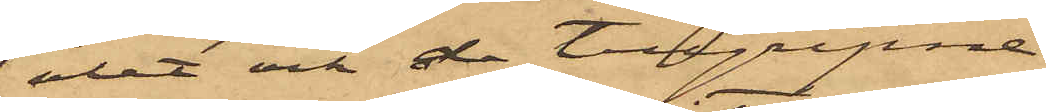ölet och de tillgripne
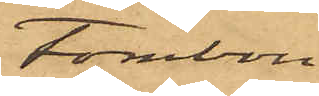tombou¬
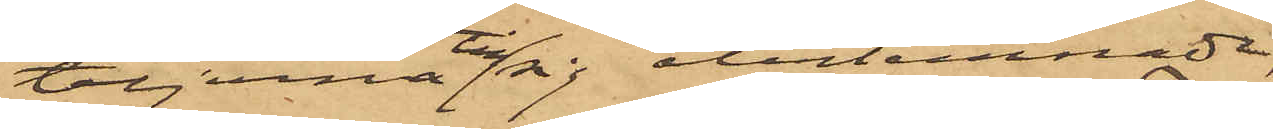teljerna till sig återlemnade,
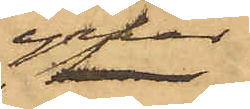yrkar
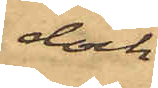dock
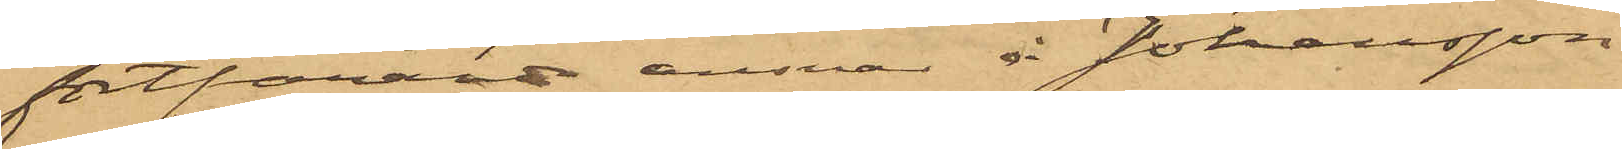fortfarande ansvar å Johansson
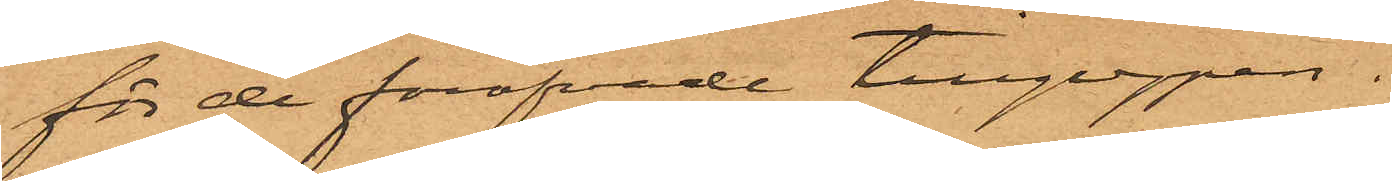för de föröfvade tillgreppen.
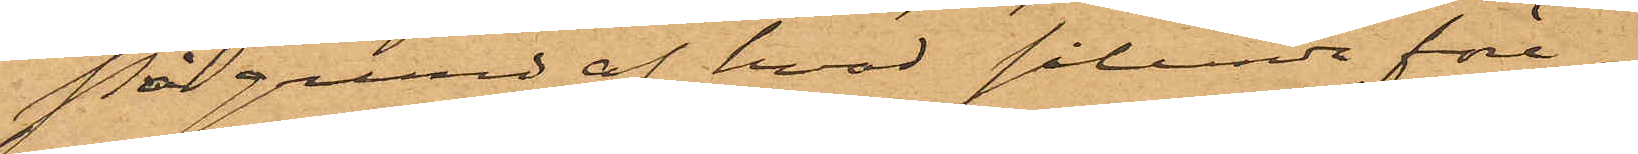På grund af hvad sålunda före¬
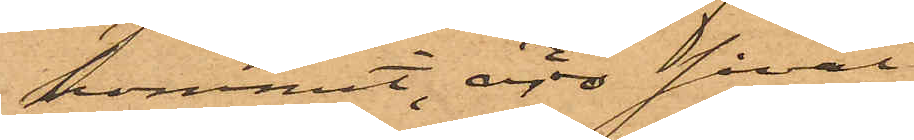kommit, äro såväl
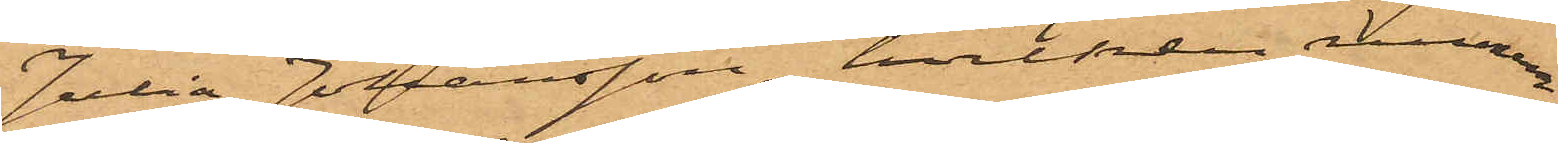Julia Johansson, hvilken numera
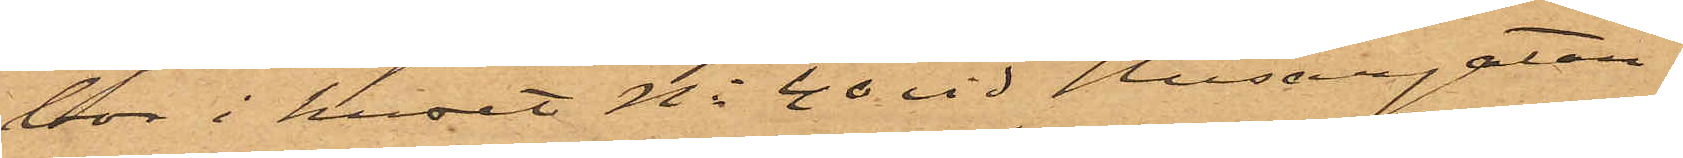bor i huset No 40 vid Husargatan,
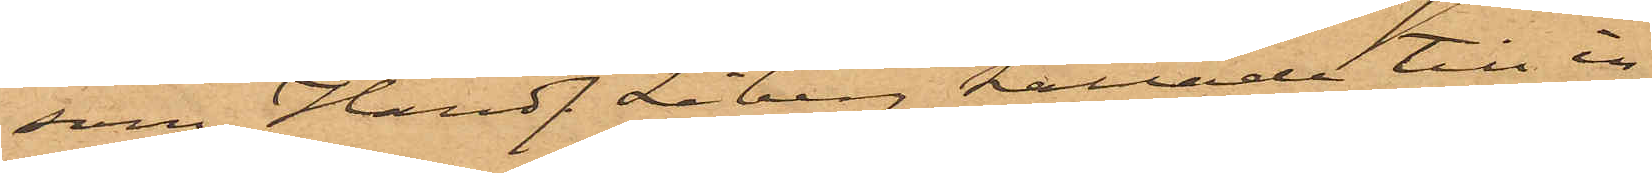som Handl. Liberg kallade till in¬
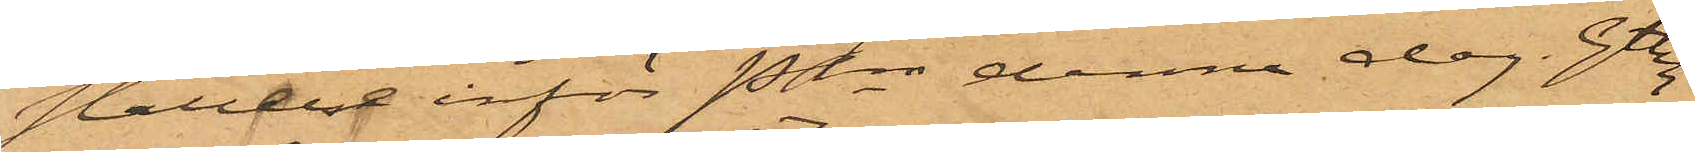ställelse inför Pkn denna dag. Gtbg
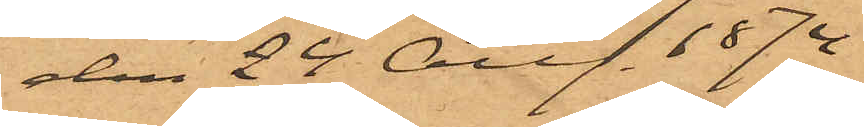den 24 Aug. 1874
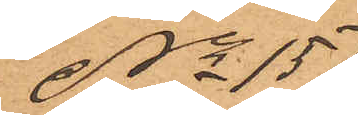No 15
